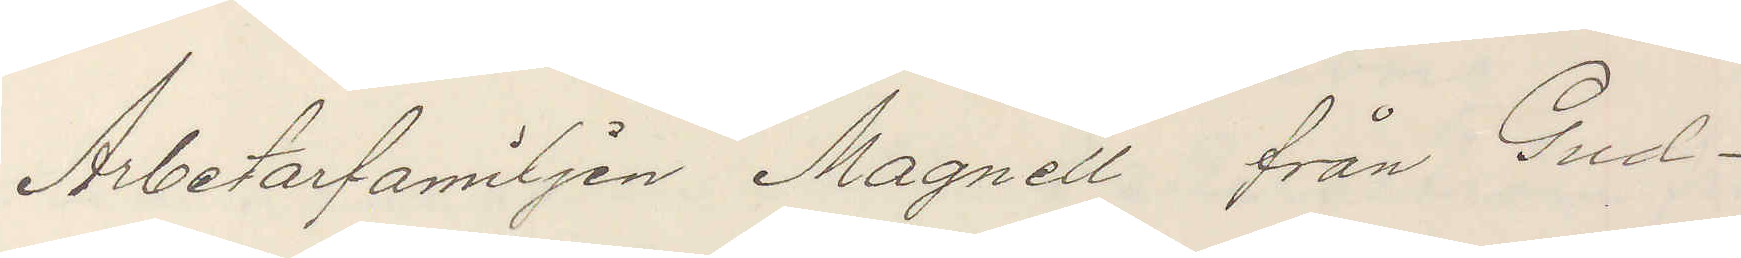Arbetarfamiljen Magnell från Gud¬
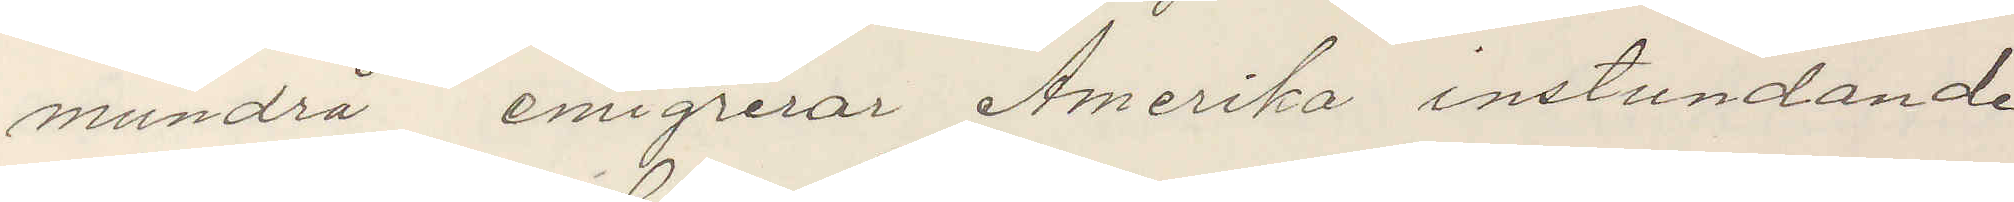mundrå emigrerar Amerika instundande
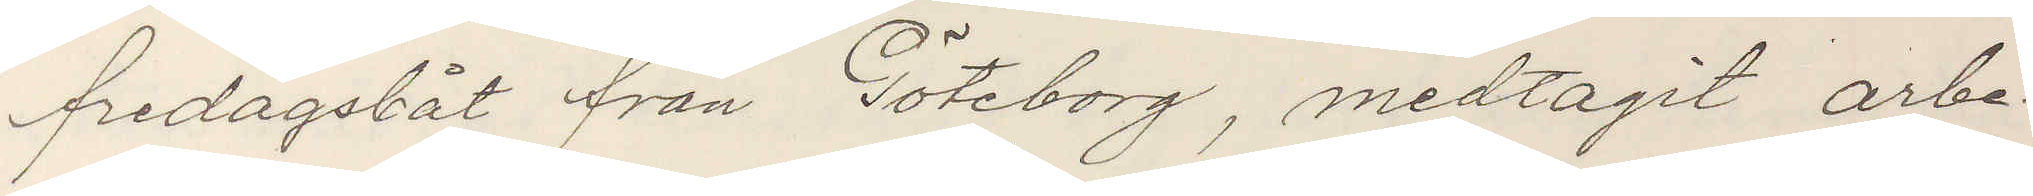fredagsbåt från Göteborg, medtagit arbe¬
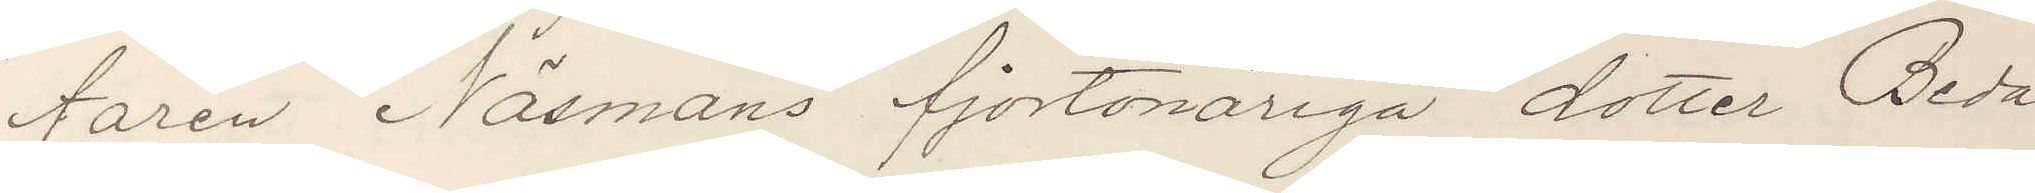taren Näsmans fjortonåriga dotter Beda
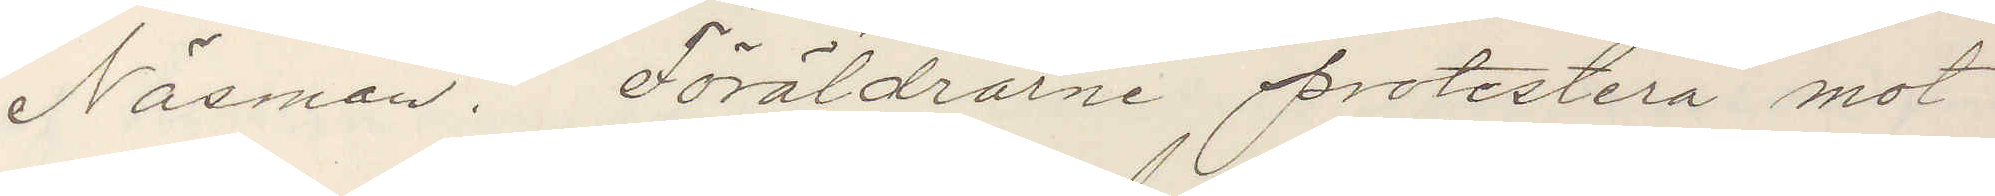Näsman. Föräldrarne protestera mot
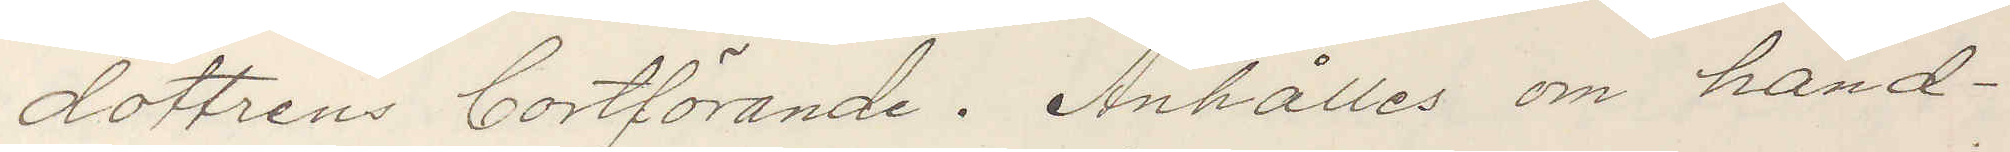dotterns bortförande. Anhåller om hand¬
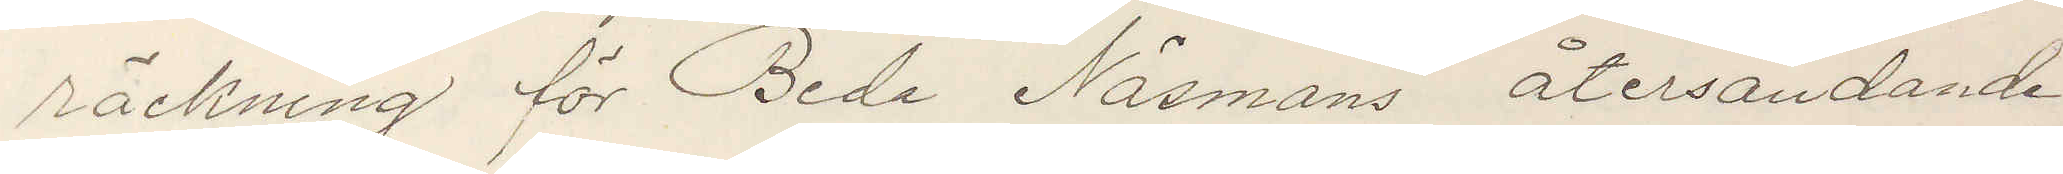räckning för Beda Näsmans återsändande
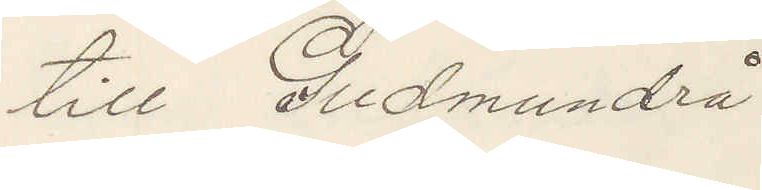till Gudmundrå.
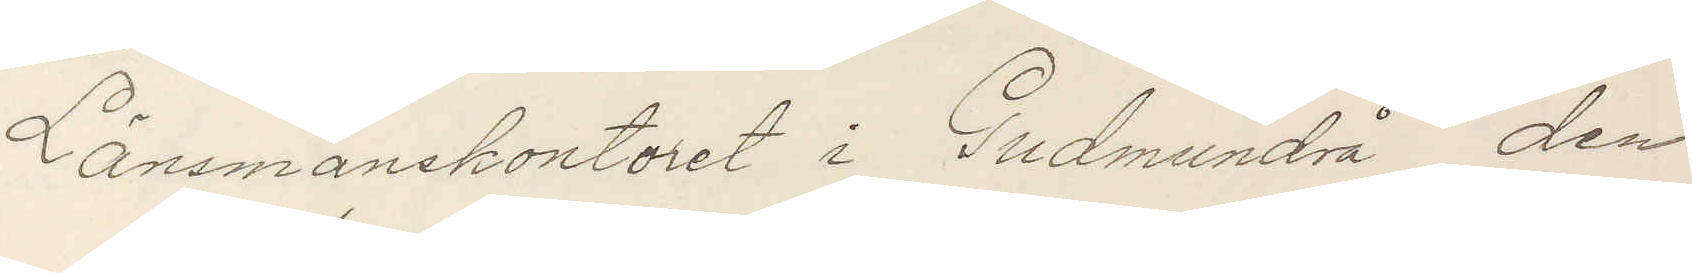Länsmanskontoret i Gudmundrå den
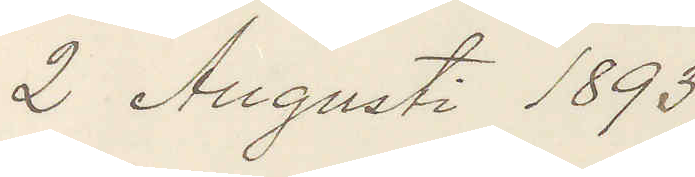2 Augusti 1893
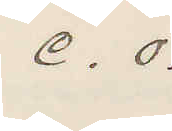e. o.
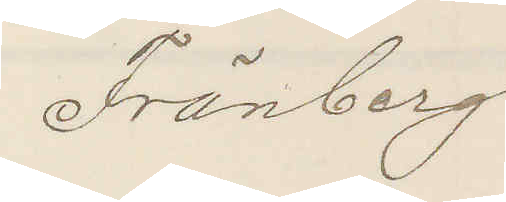Fränberg
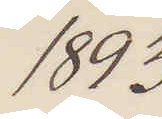1893
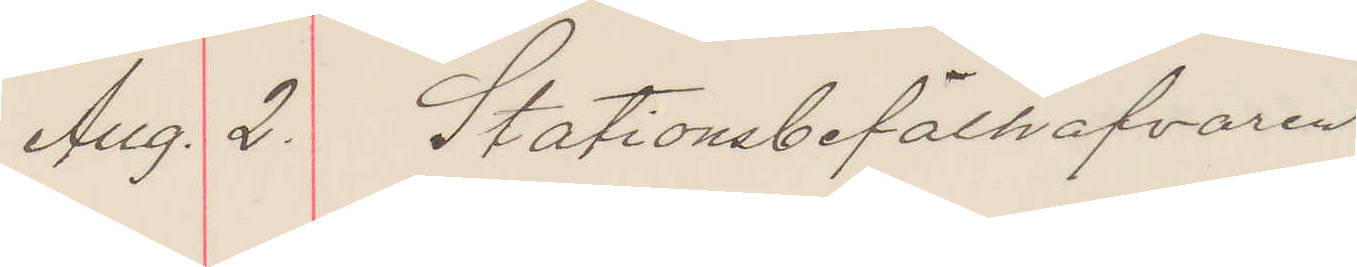Aug. 2. Stationsbefälhafvaren
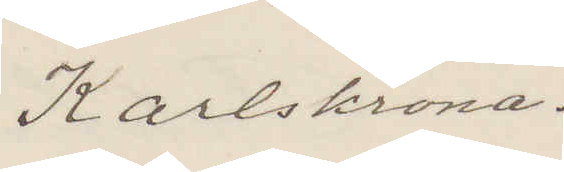Karlskrona.
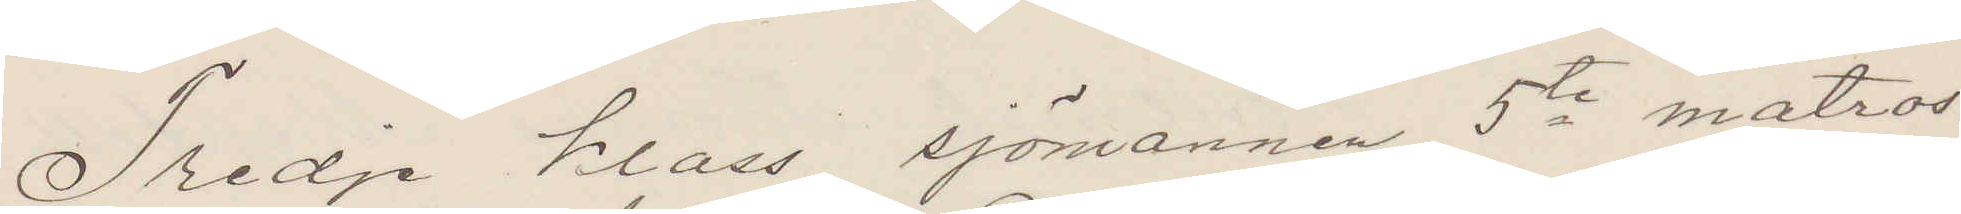Tredje klass sjömannen 5te matros¬
